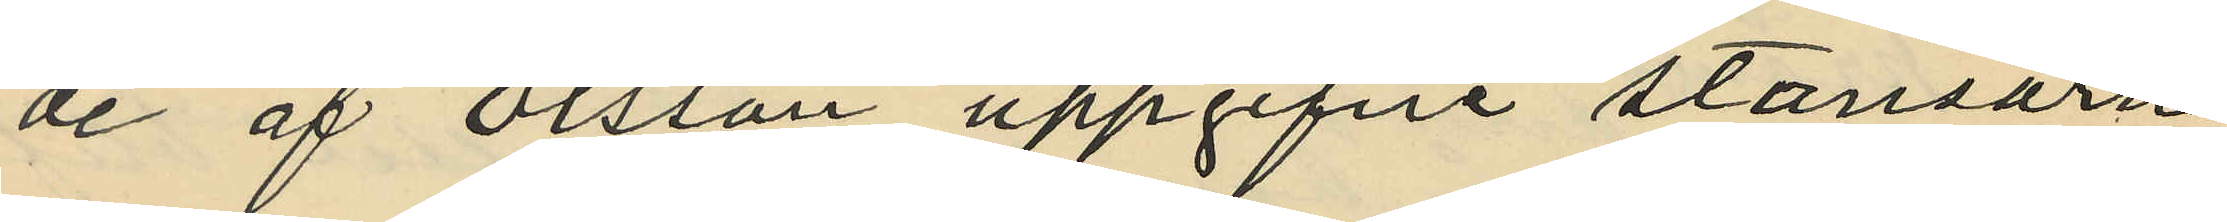de af Olsson uppgifne stansarne
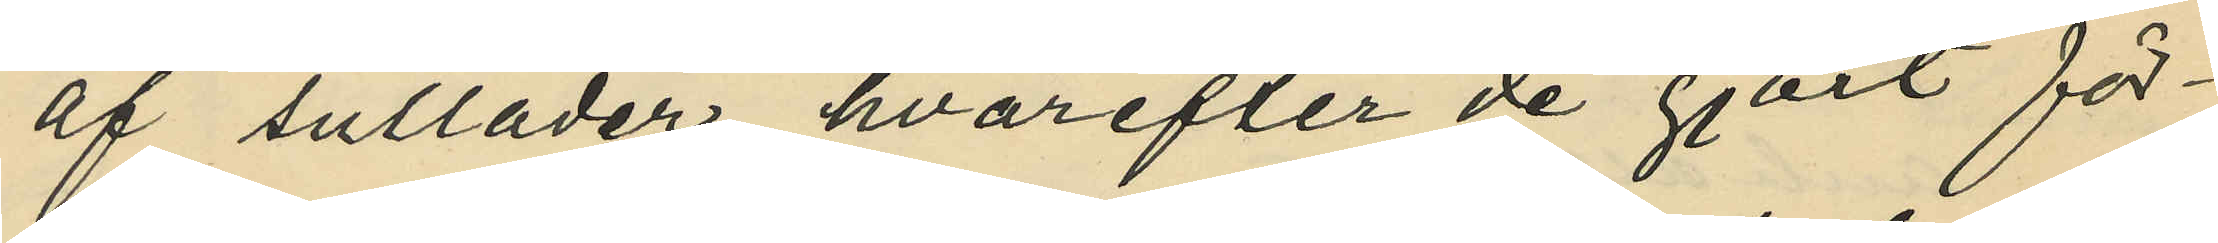af sulläder, hvarefter de gjort för¬
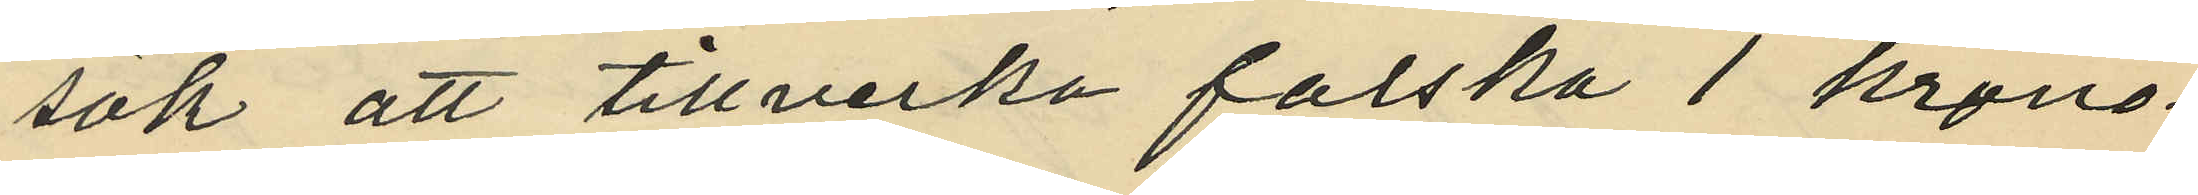sök att tillverka falska 1 krono¬
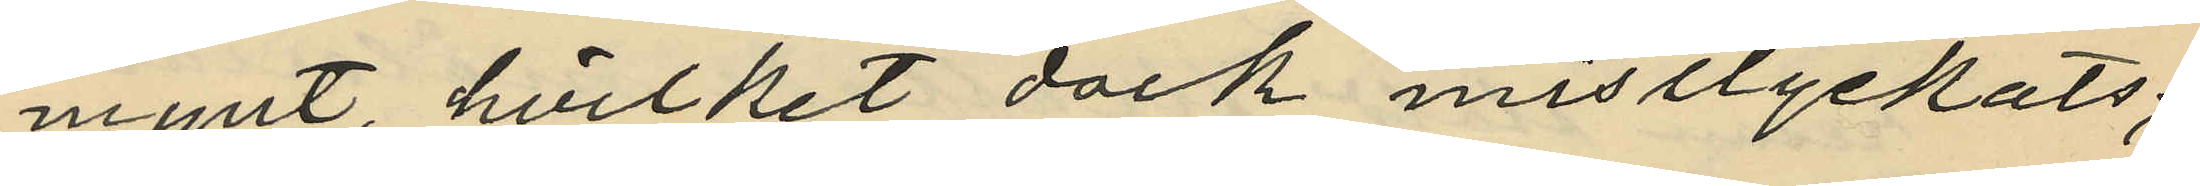mynt, hvilket dock misslyckats;
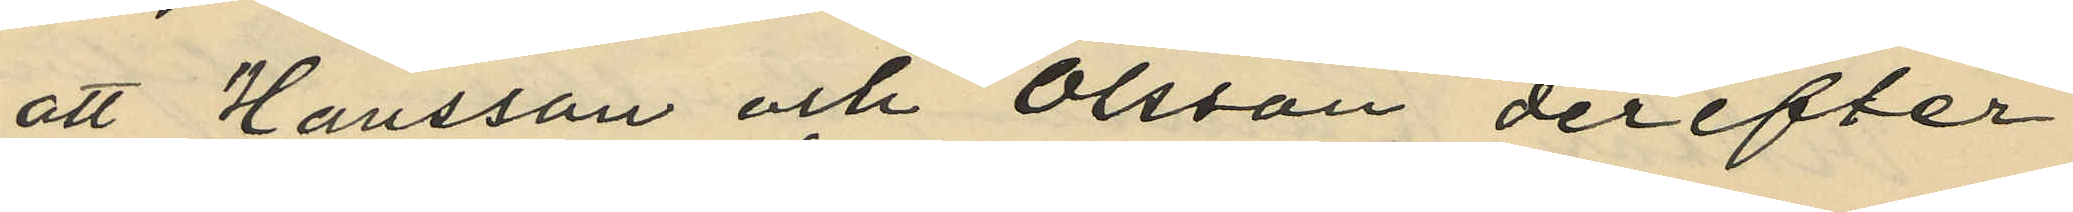att Hansson och Olsson derefter
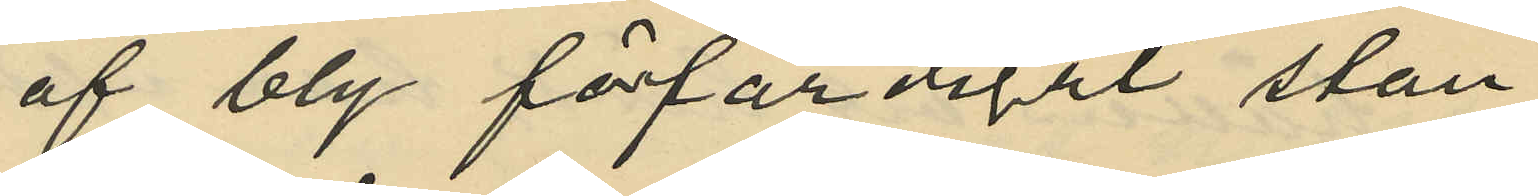af bly förfärdigat stan¬
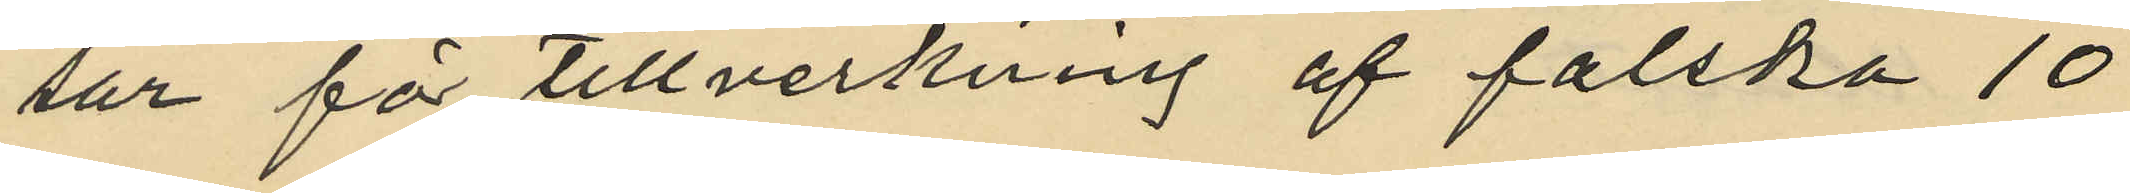sar för tillverkning af falska 10
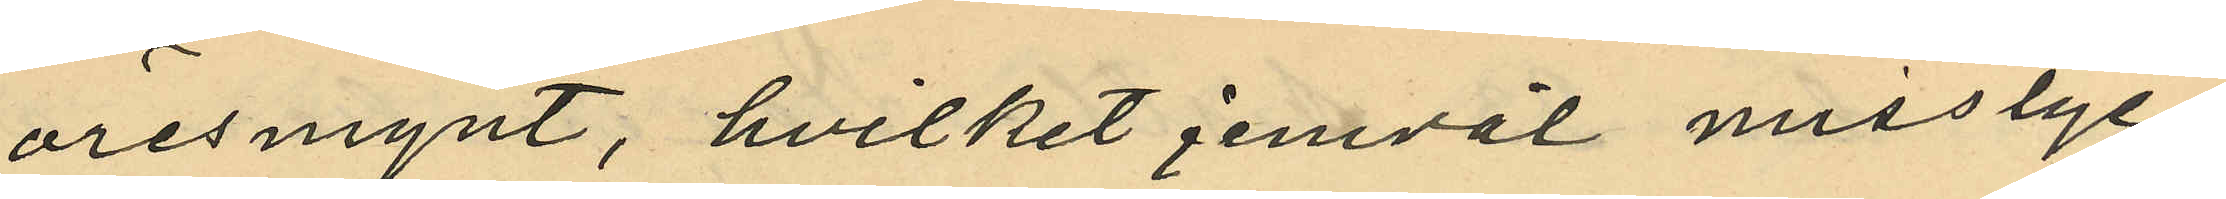öresmynt, hvilket jemväl misslyc¬
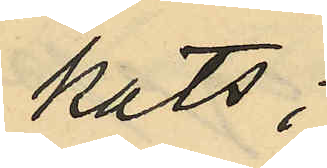kats;
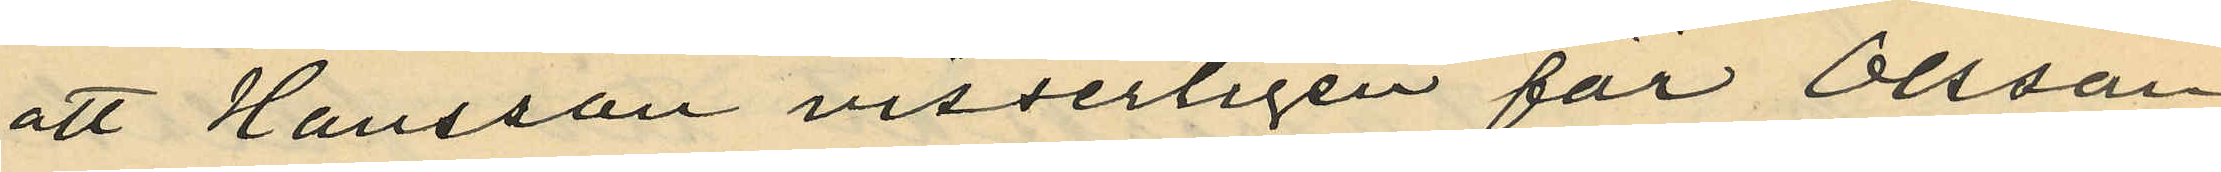att Hansson visserligen för Olsson
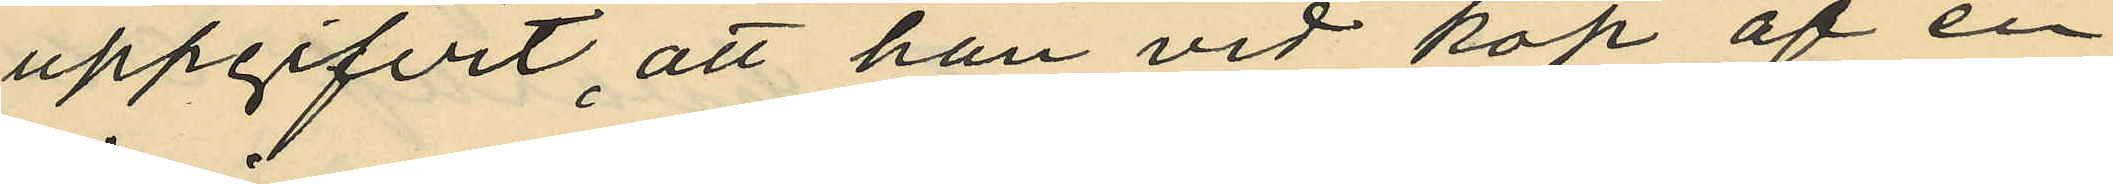uppgifvit, att han vid köp af en
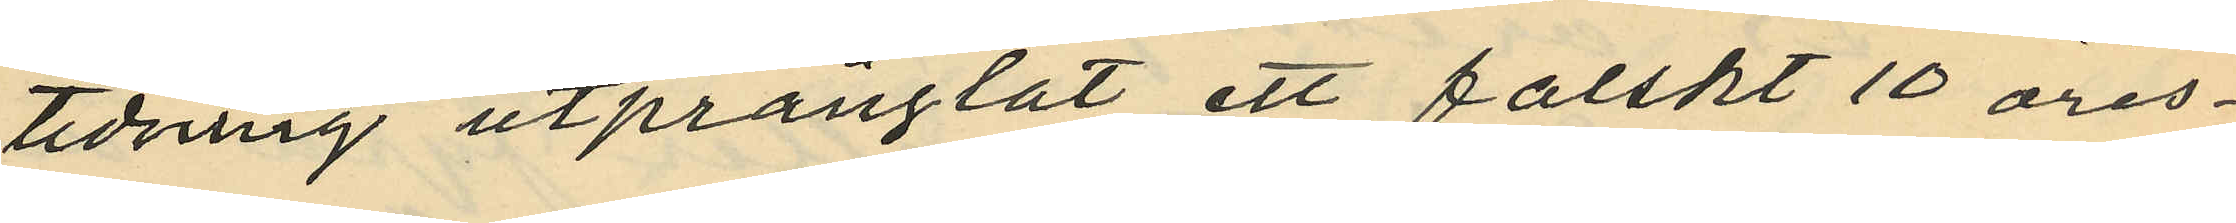tidning utprånglat ett falskt 10 öres¬
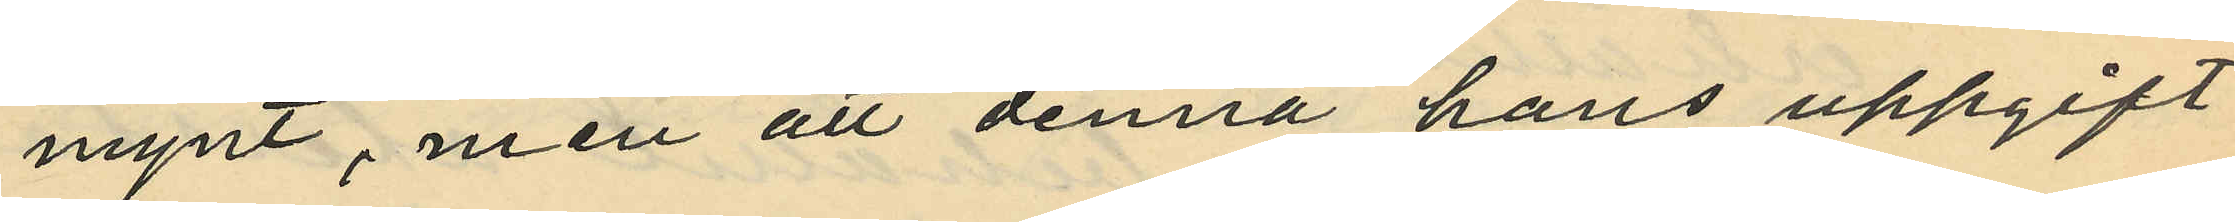mynt, men att denna hans uppgift
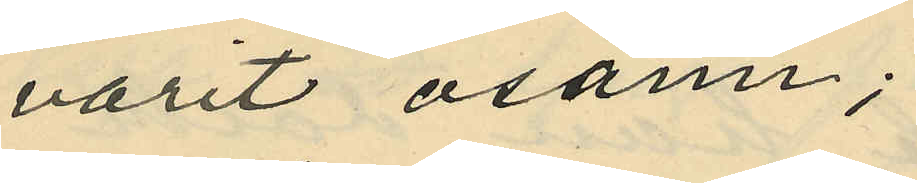varit osann;
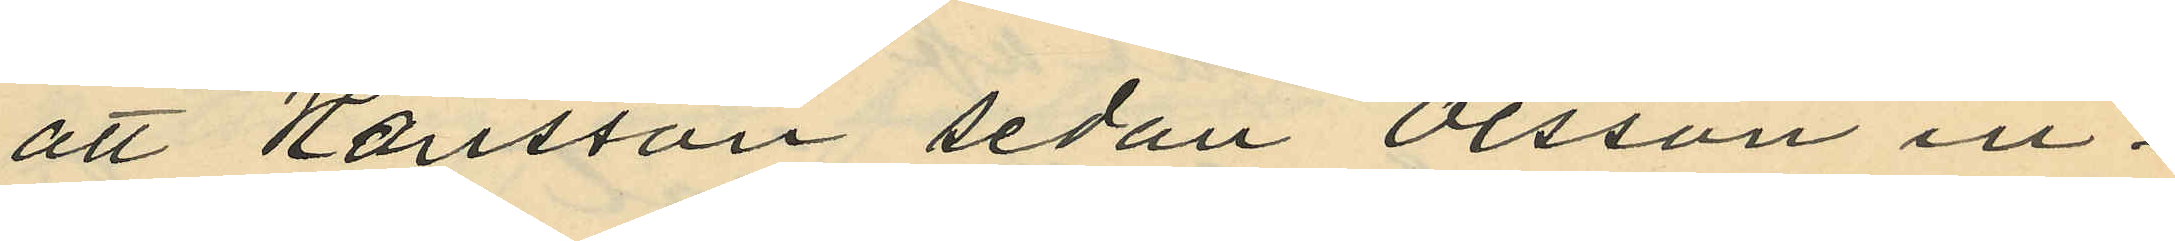att Hansson sedan Olsson in¬
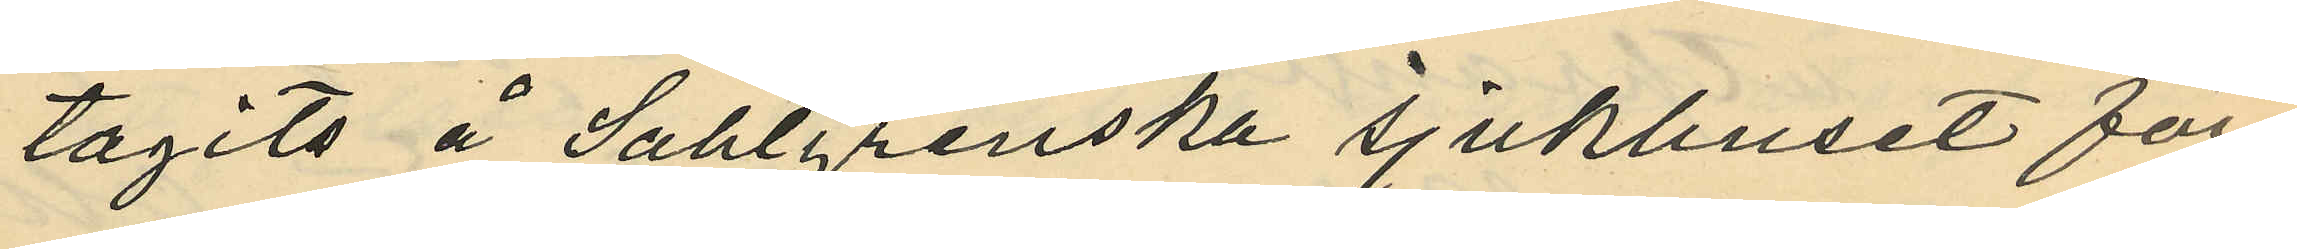tagits å Sahlgrenska sjukhuset för¬
